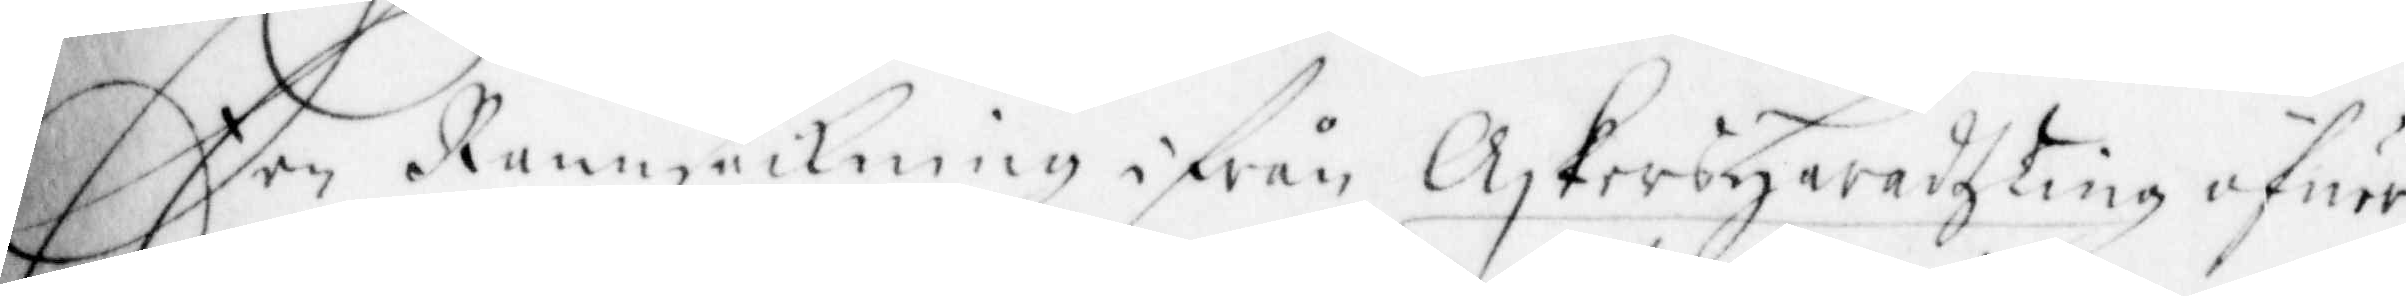Een Rannsakning ifrån Askerby Häradsting öfuer
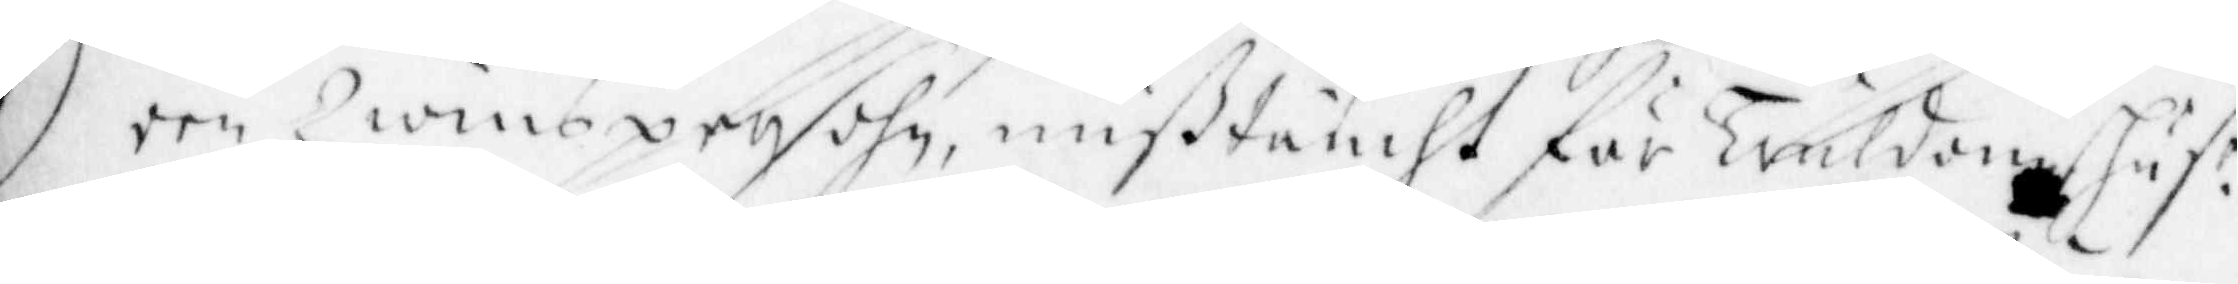een Qwinspersohn, mißtäncht för tråldom, Hust. r
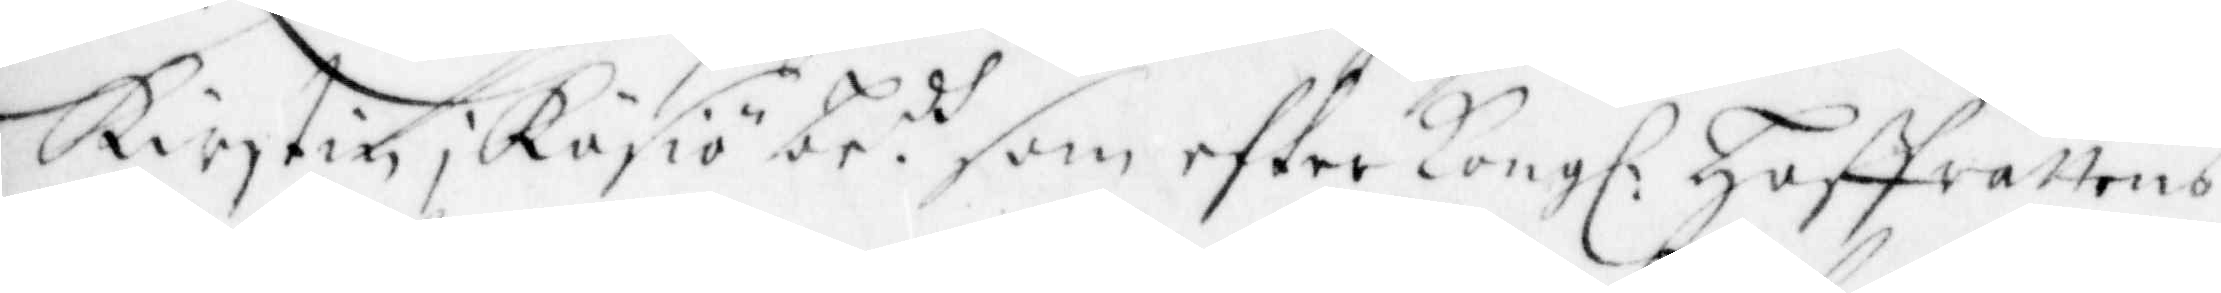Kirstin; Räsiö br.ds som efter Kongl. Hoffrättens
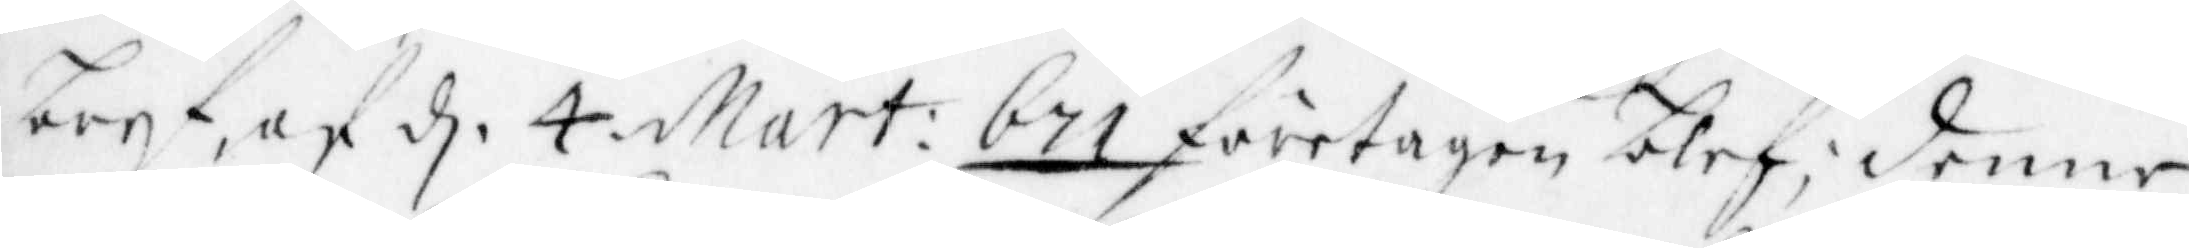bref, af d. 4 Mart: bn företagen blef; denne
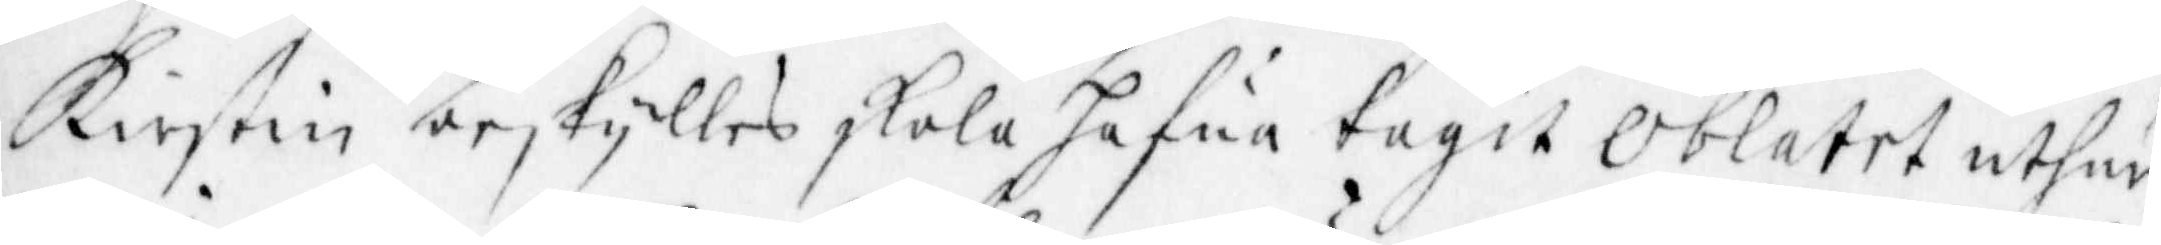Kirstin beskylles skola hafua tagit Oblatet uthur
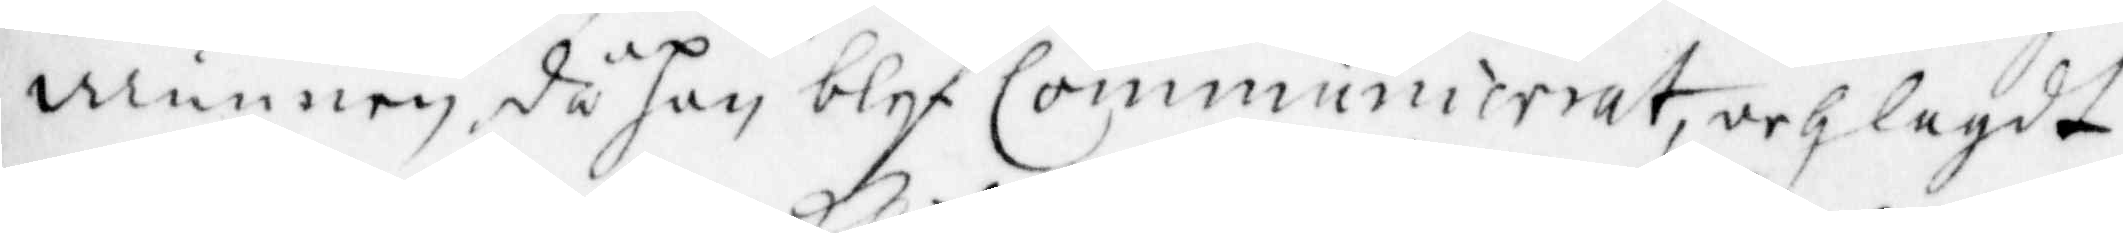munnen då hon blef Communicerat, och lagdt
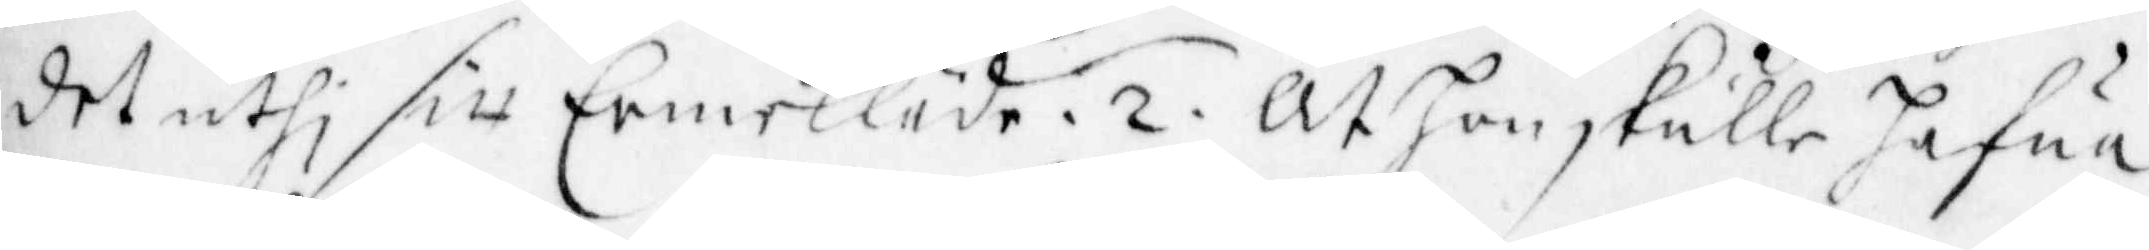det uthi sitt Ermekläde. 2 . At hon skulle hafua
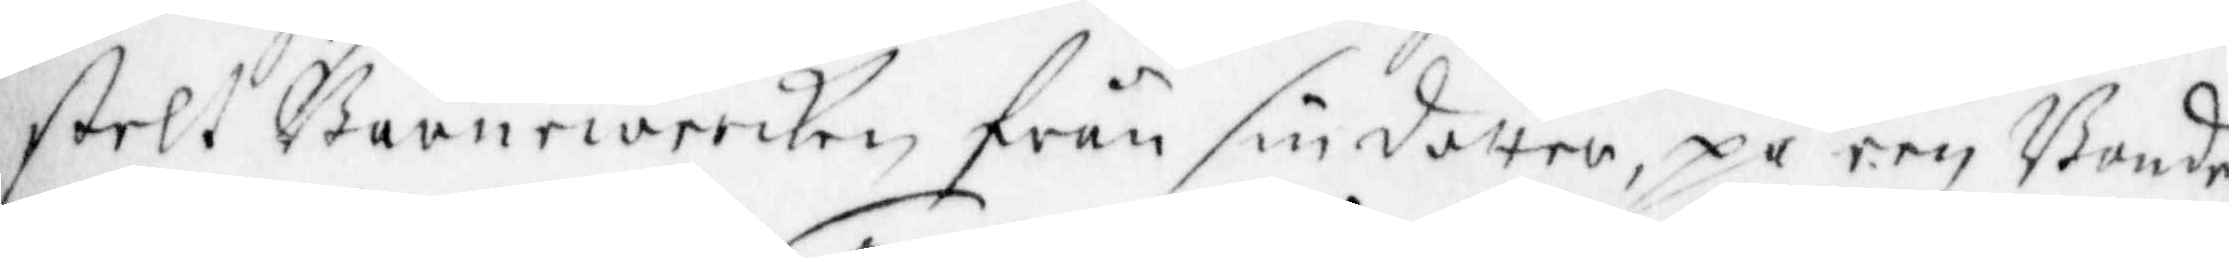stelt barnewercken från sin dotter, på een Bonde
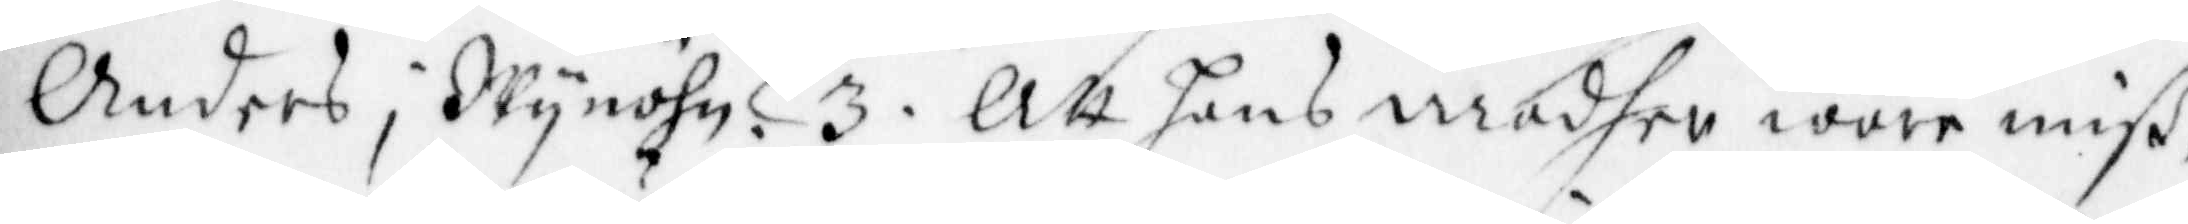Anders i Wynöhn. 3 . Att hans modher vore miß¬
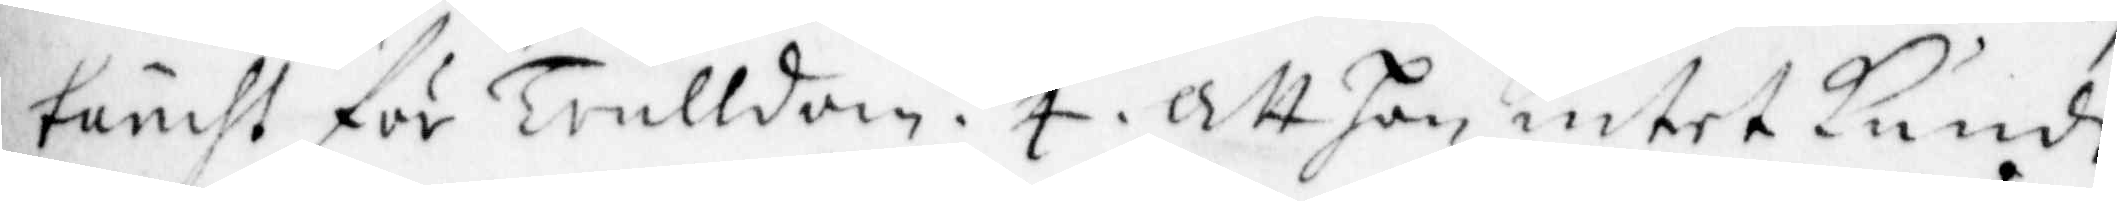täncht för trulldom. 4 . Att hon intet Kunde
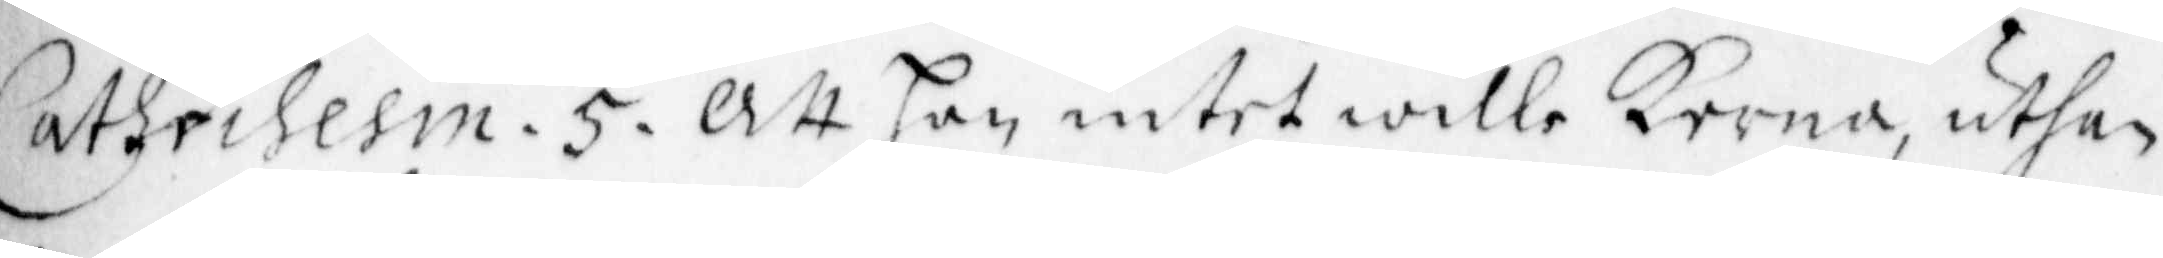Cathechesin. 5 . Att hon intet wille Kerna, uthan
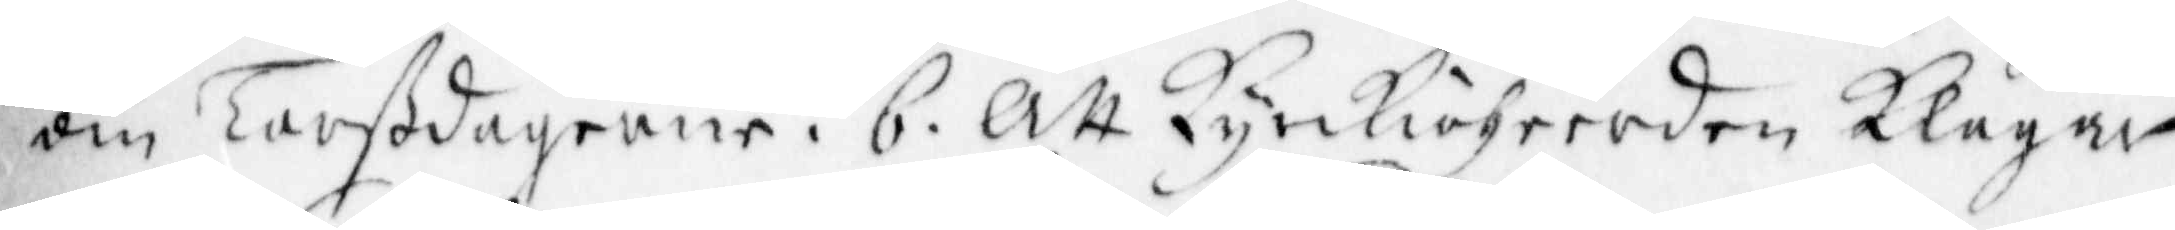om Torßdagerne. 6 . Att Kyrkioheerden Klagar
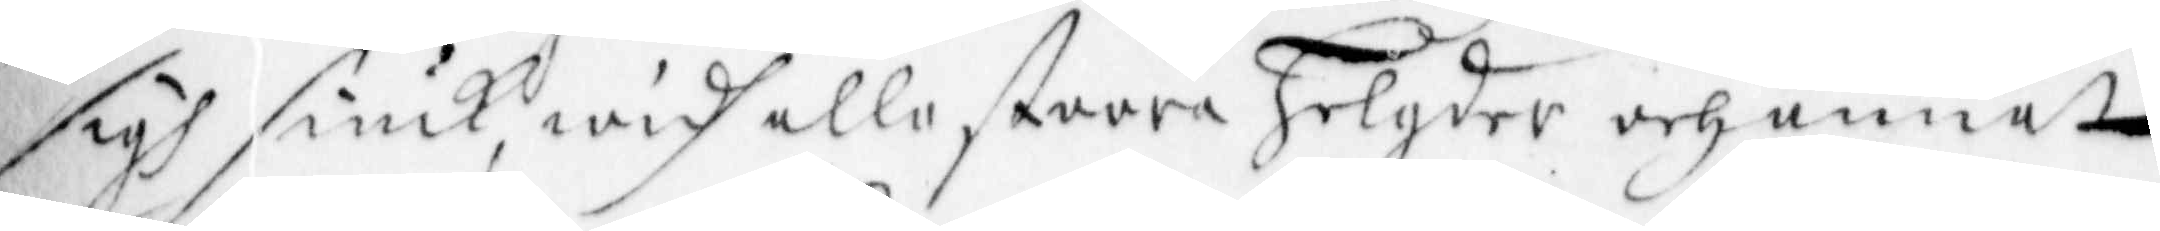sigh siuk, widh alla stoora Helgder och annat
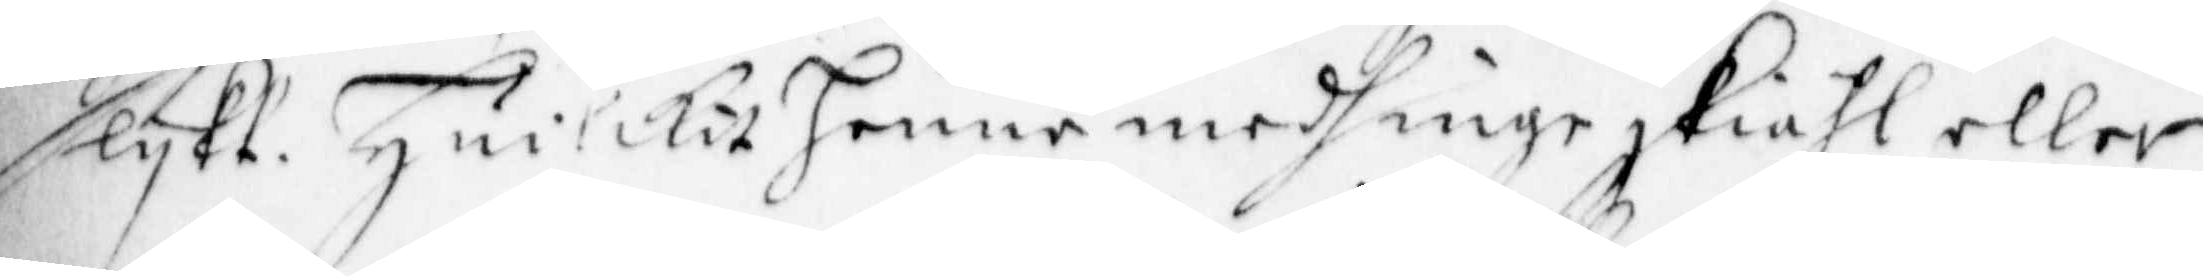slykt. Huilcket Henne medh inge skiähl eller
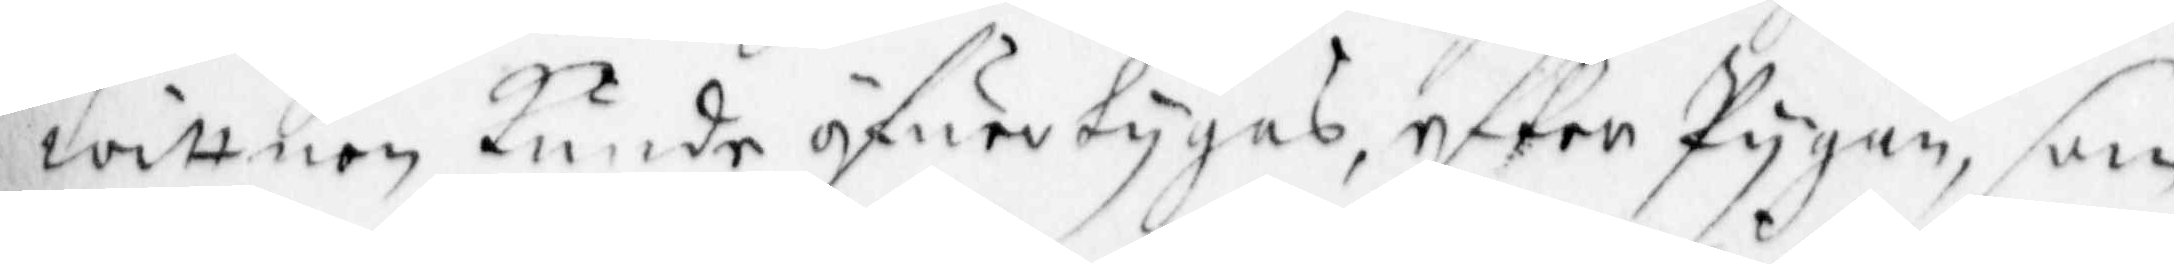wittnen Kunde öfuertygas, efter Pygan, som
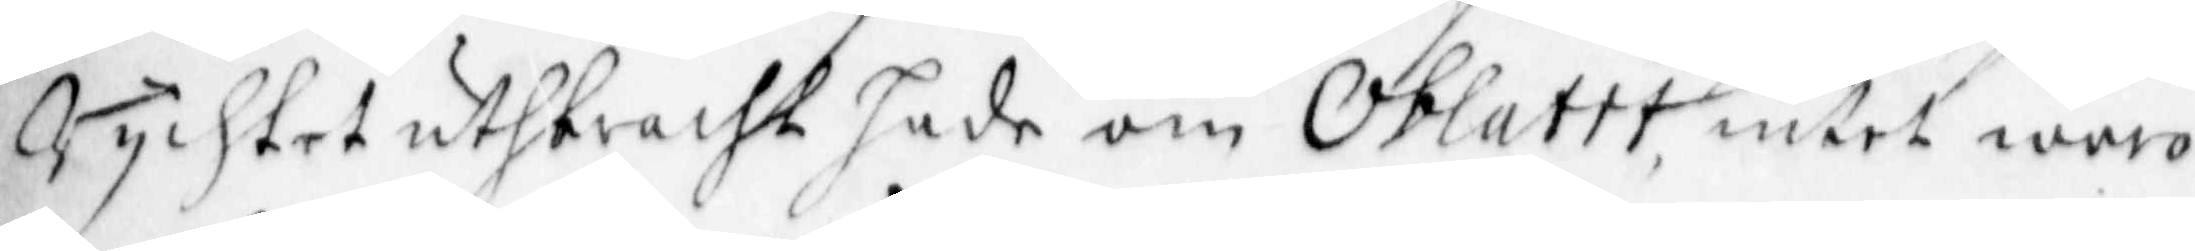Mychket uthbracht sade om oblatet, intet woro
